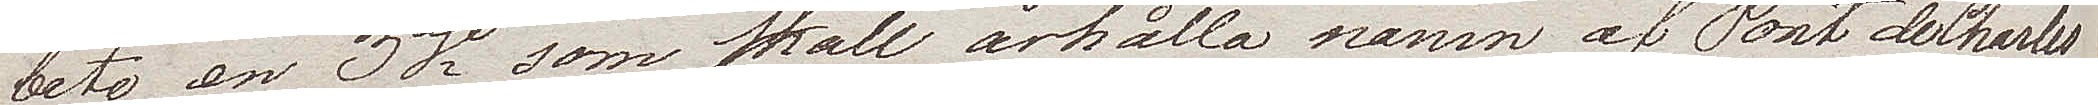bete en 3dje som skall erhålla namn af Pont de Charles
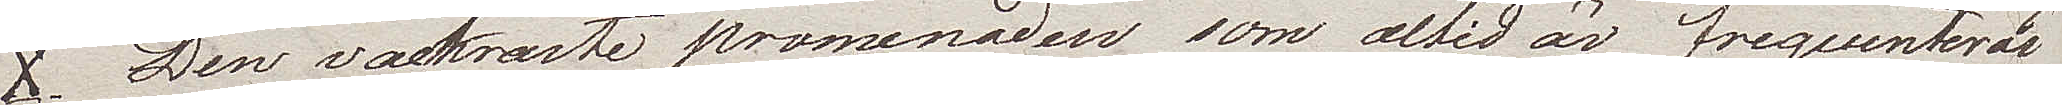X. Den vackraste promenaden som altid är frequenterad
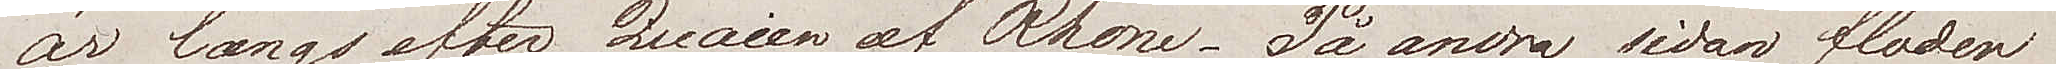är längs efter Quaien af Rhone. På andra sidan staden
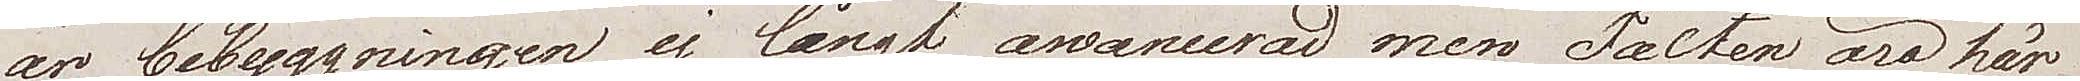är bebyggningen ej långt avancerad, men Fälten äro här
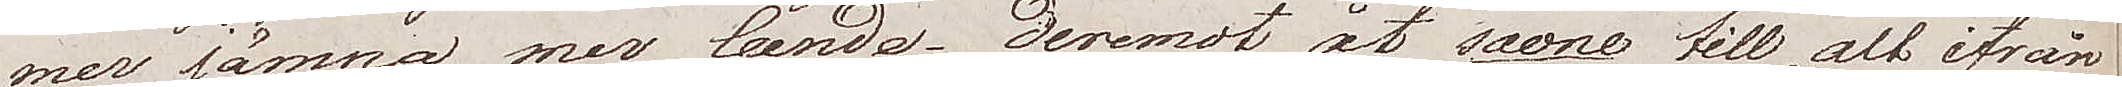mer jämna mer leende; deremot åt Saone till, allt ifrån
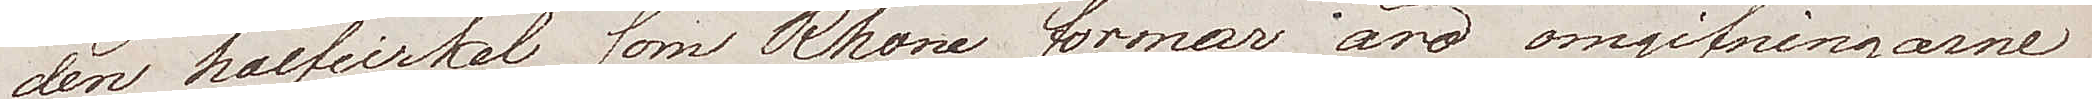den halfcirkel som Rhone formar, äro omgifningarne
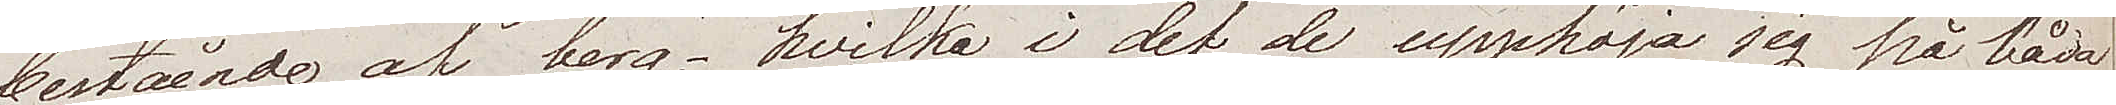bestående av berg, vilka i det de upphöja sig på båda
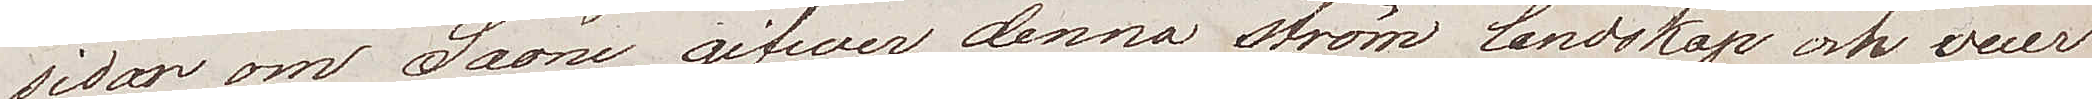sidor om Saone, gifver denna ström landskap och vuer
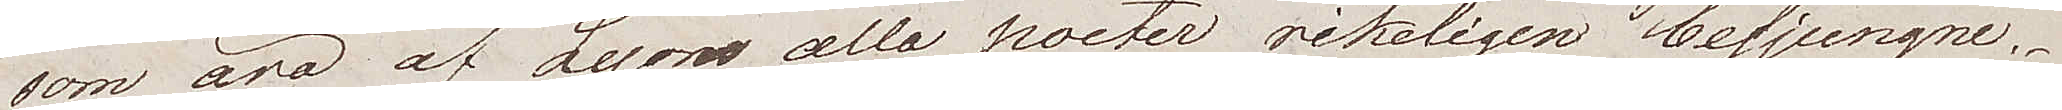som äro av Lyons alla poeter rikeligen besjungne.
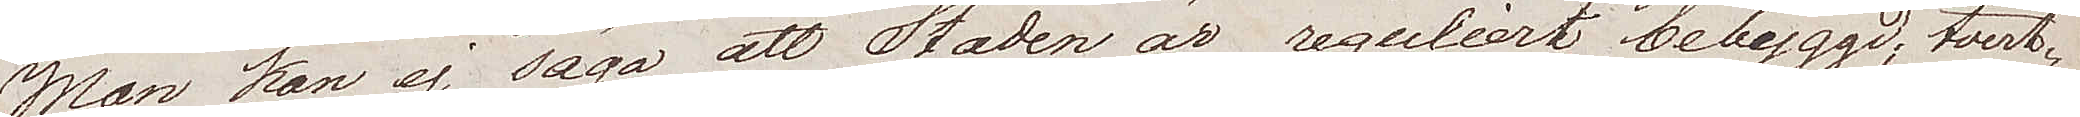Man kan ej säga att Staden är reguliert bebygggd, tvert¬
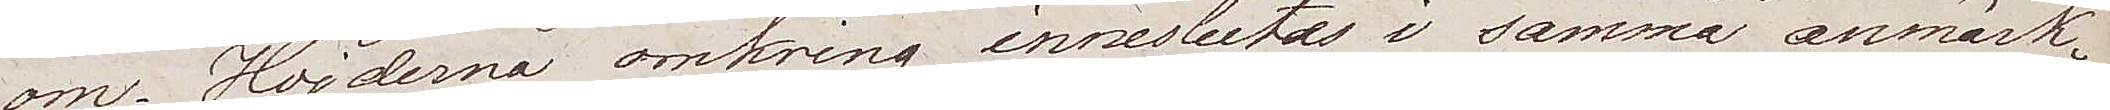om. Höjderna omkring inneslutas i samma anmärk¬
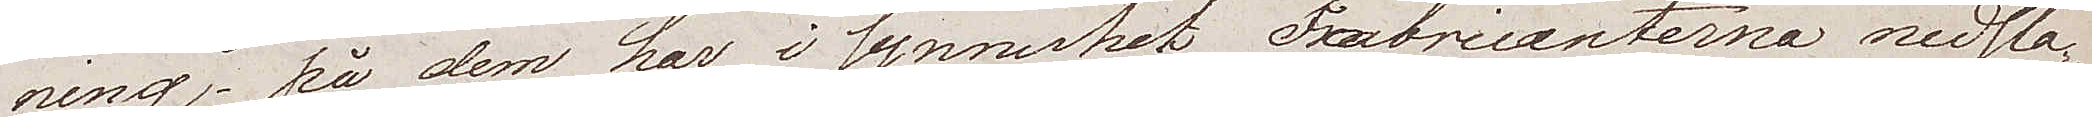ning – på dem har i synnerhet Fabricanterna nedsla¬
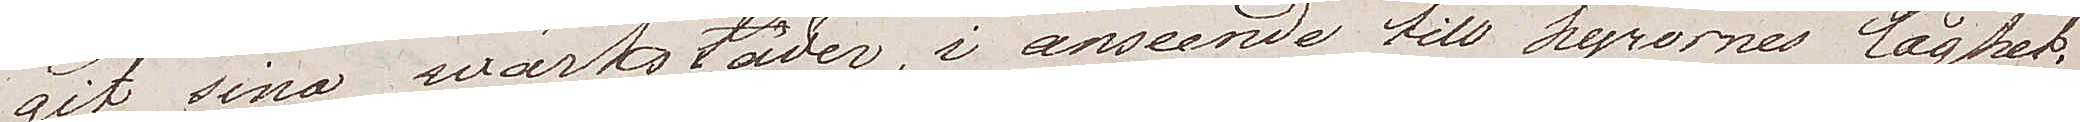git sina wärkstäder, i anseende till hyrornas låghet.
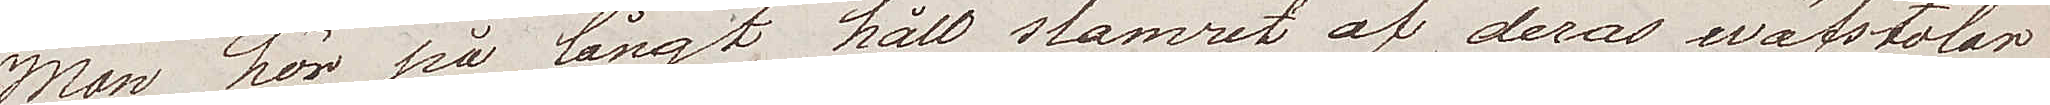Man hör på långt håll slamret af deras wäfstolar
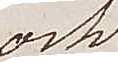och
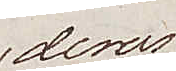deras
